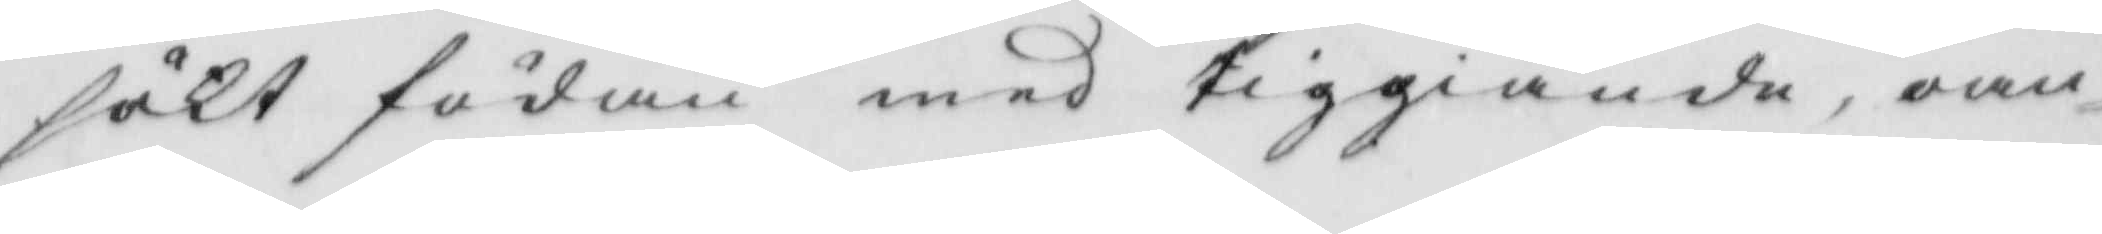sökt födan med tiggiande, oan¬
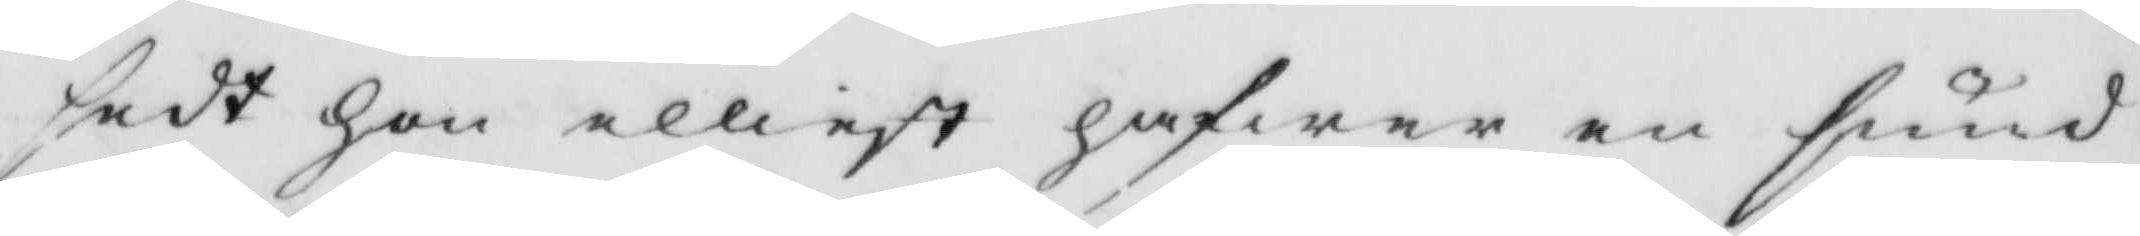sedt hon elliest hafwer en sund
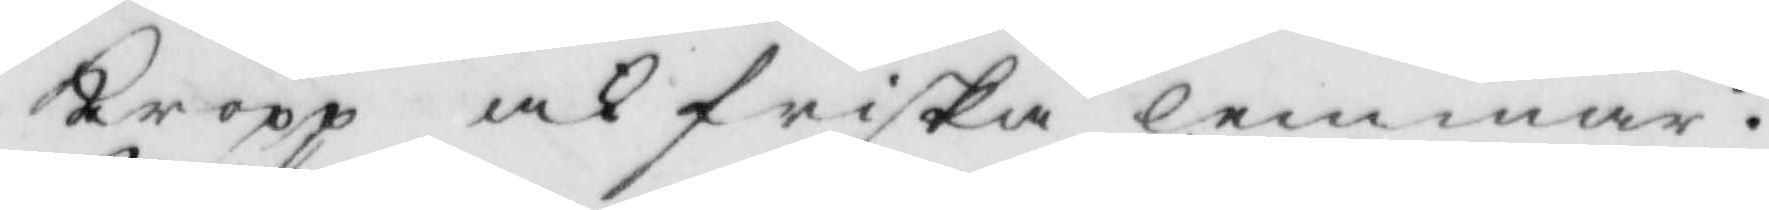Kropp ock friska lemmar.
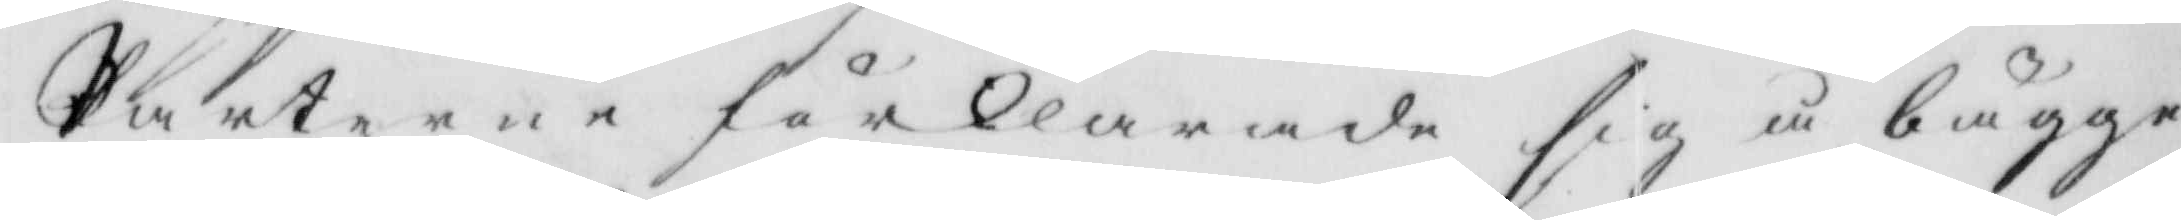Parterne förklarade sig å bägge
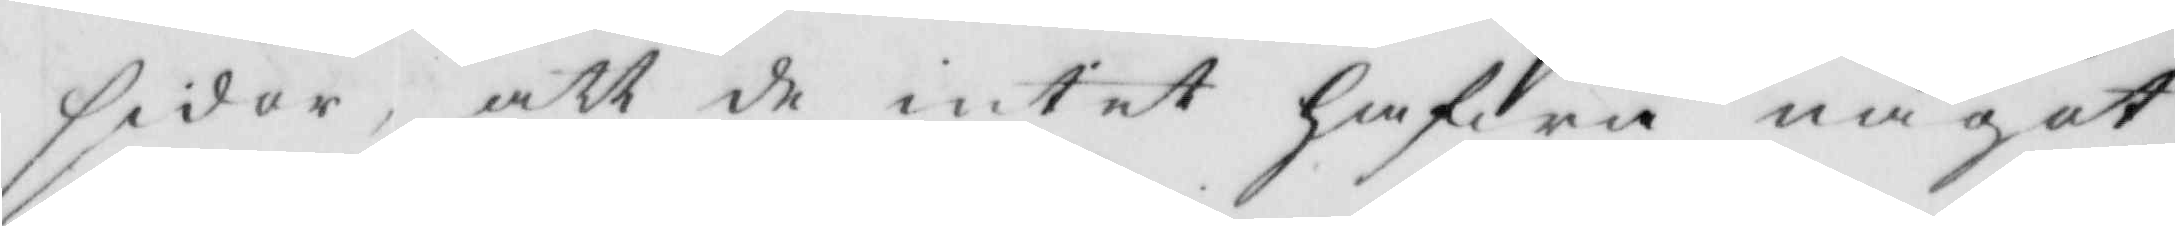sidor, att de intet hafwa något
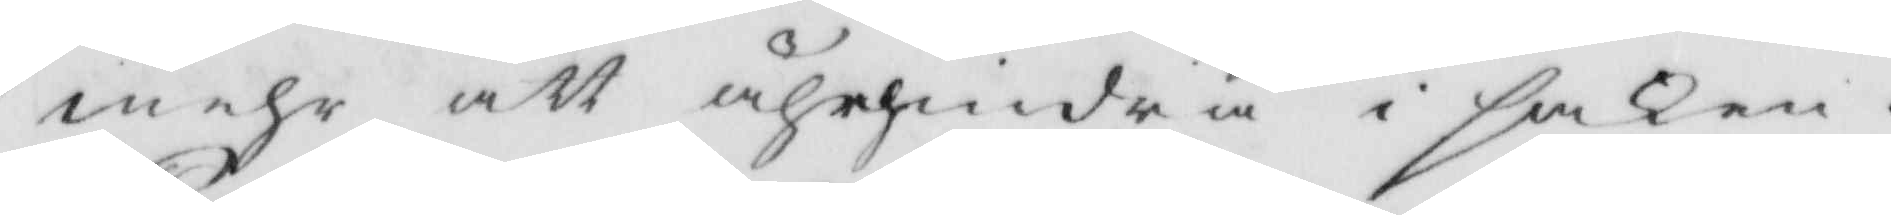mehr att ährhindra i saken.
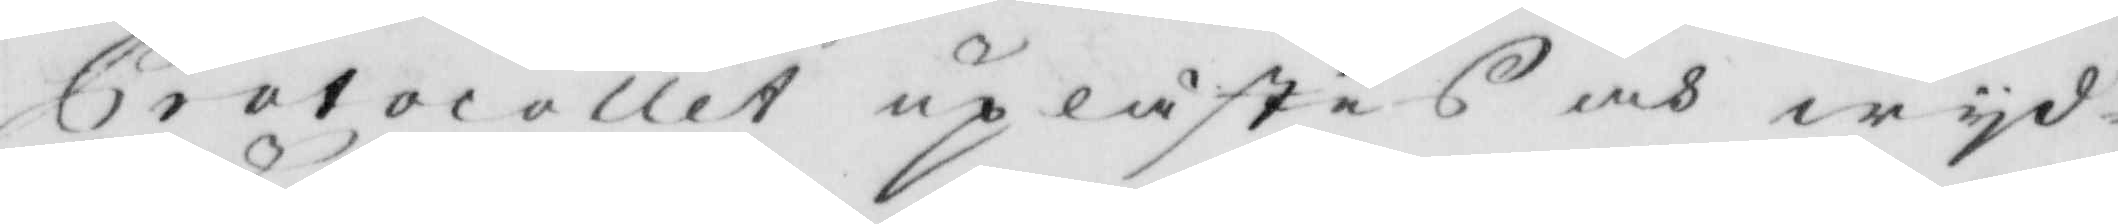Protocollet uplästes ock wyd¬
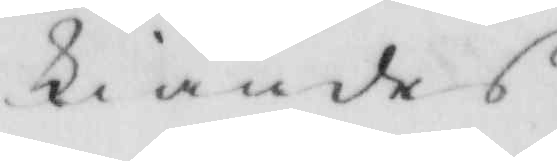kiändes.
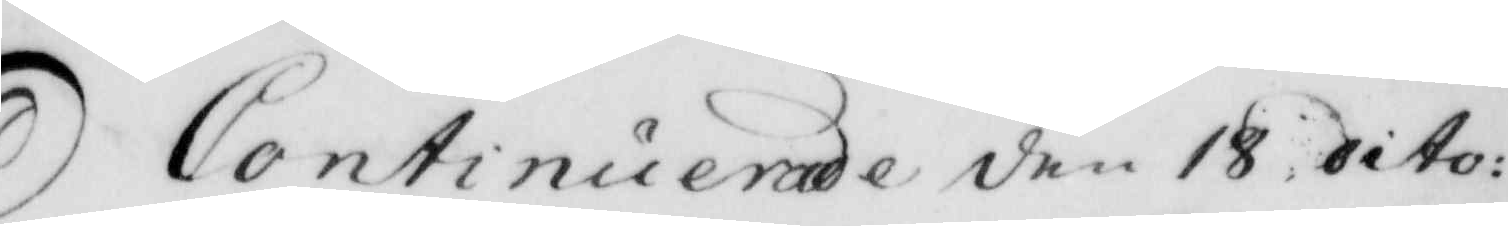Continuerade den 18 dito:
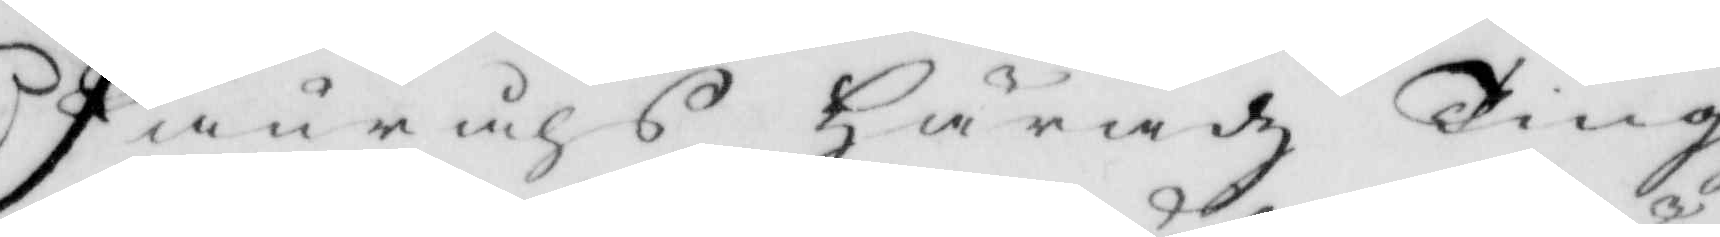Fånråhs Häradz Tingz¬
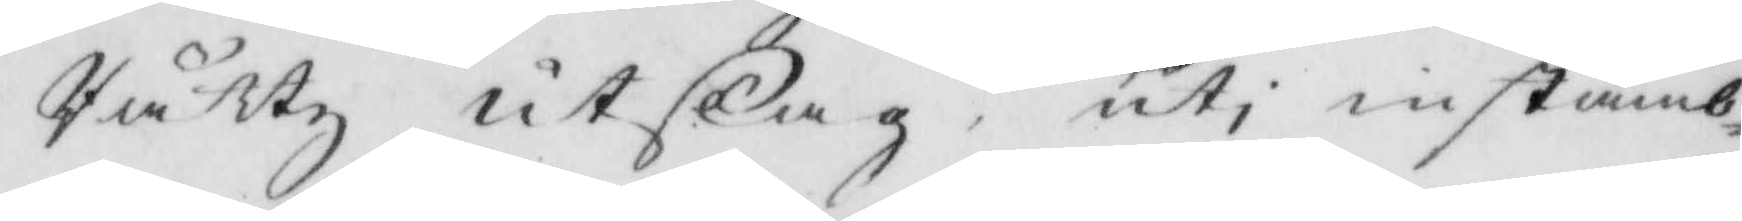Rättz utslag, uti instämb¬
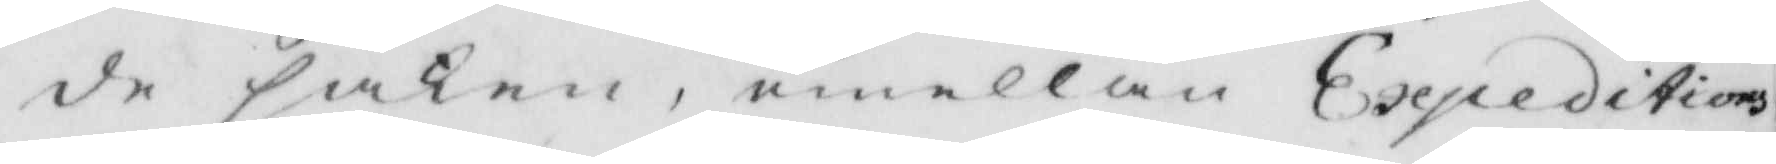de saken, emellan Expeditions¬
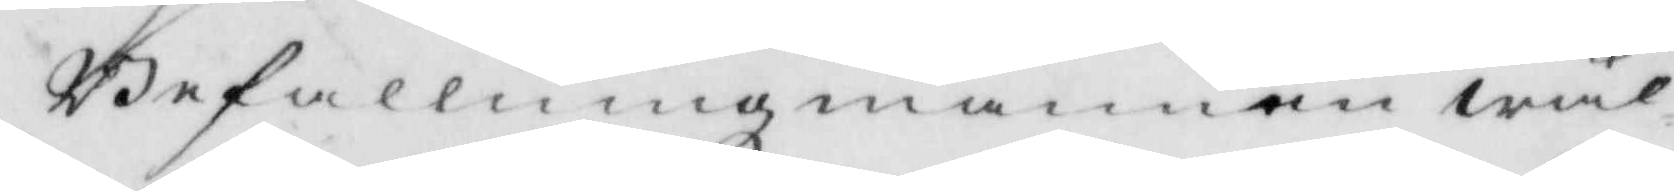Befallningsmannen wäl¬
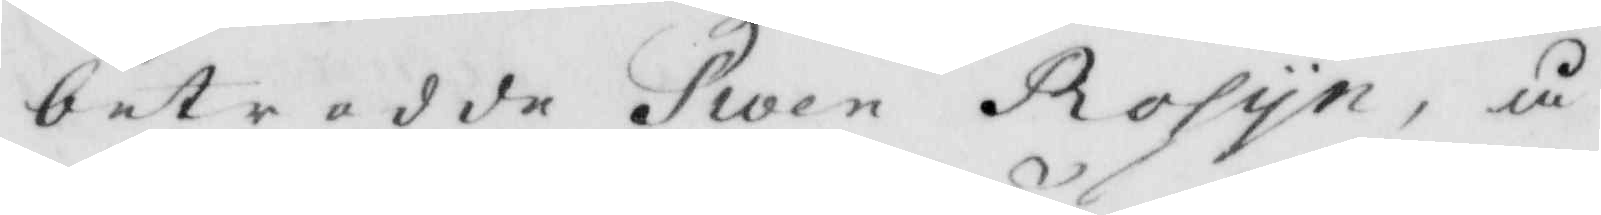betrodde Swen Rosyn, å
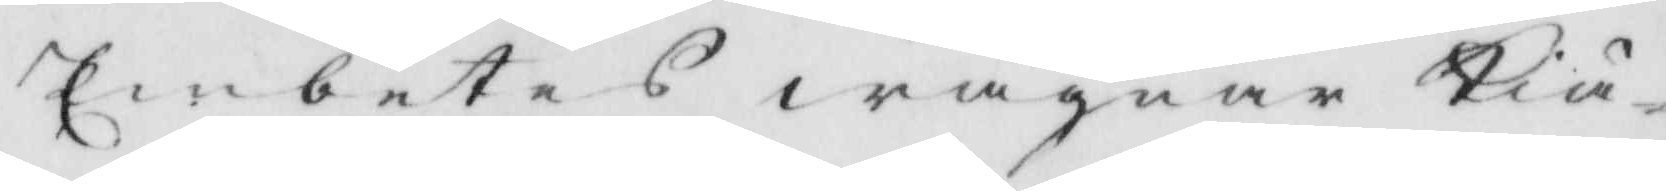Embetes wägnar Kiä¬
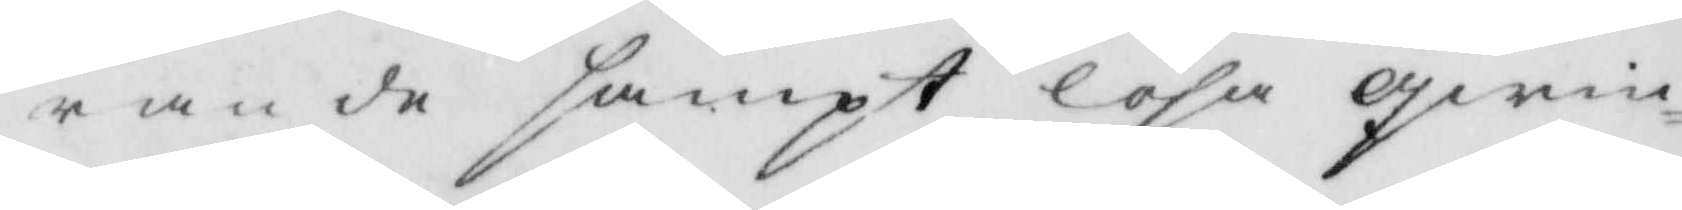rande sampt lösa qwin¬
